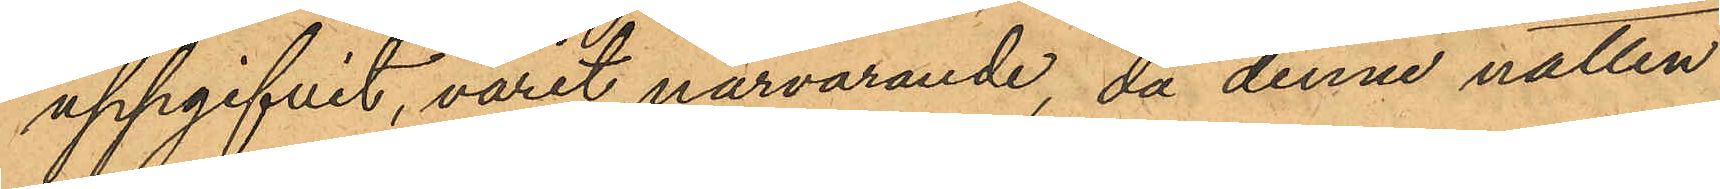uppgifvit, varit närvarande, då denne natten
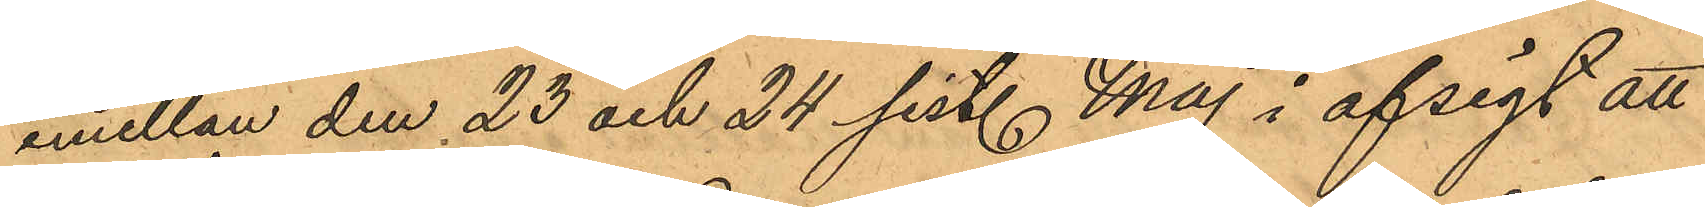emellan den 23 och 24 sist. Maj i afsigt att
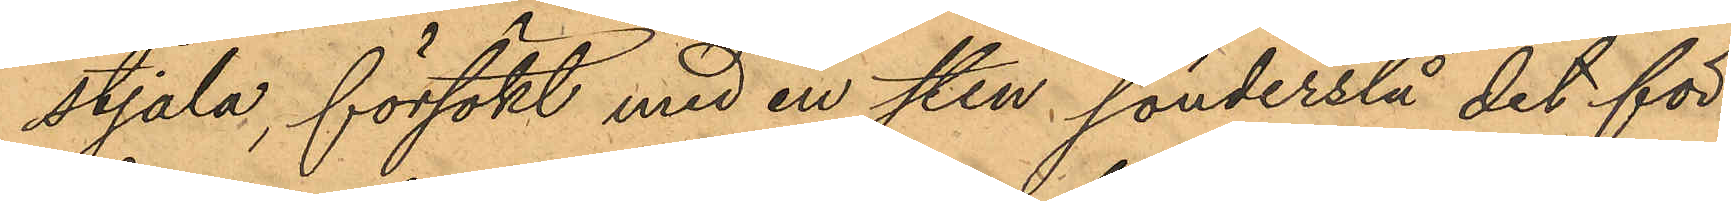stjäla, försökt med en sten, sönderslå det för
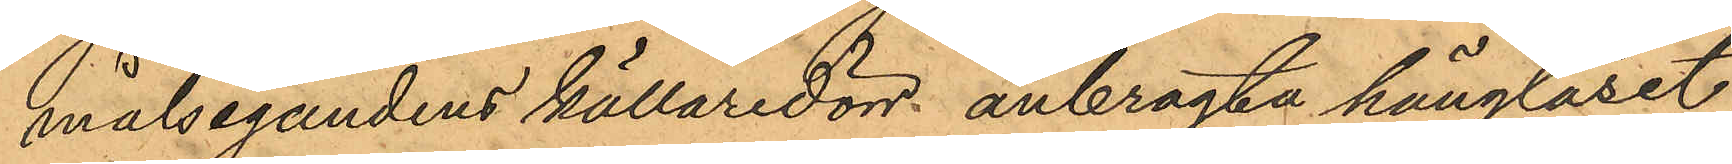målsegandens källaredörr anbragta hänglåset;
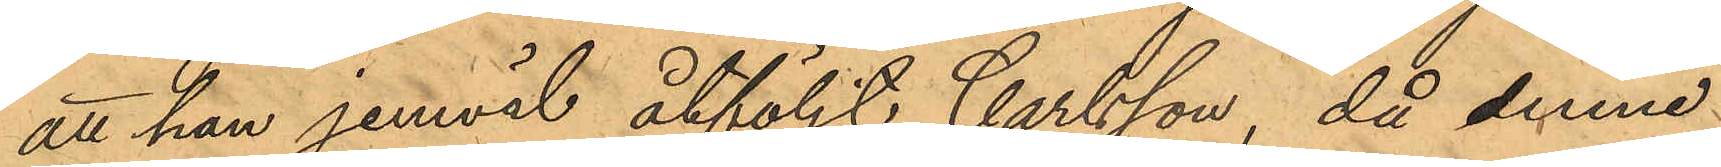att han jemväl åtföljt Carlsson, då denne
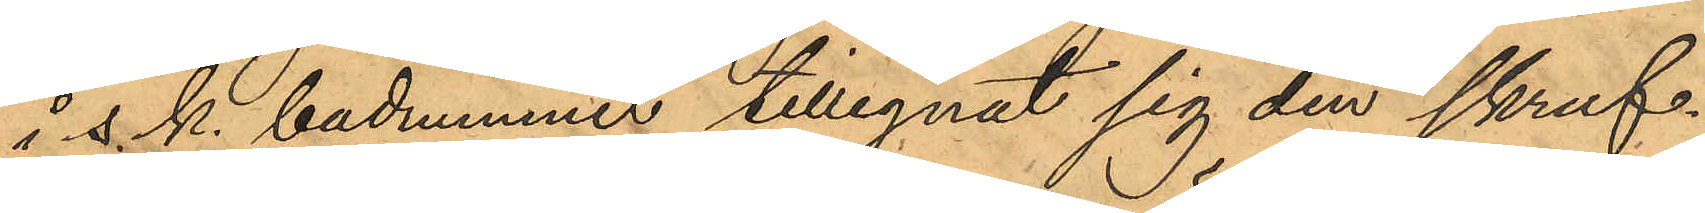i s.k. badummet tillegnat sig den skruf¬
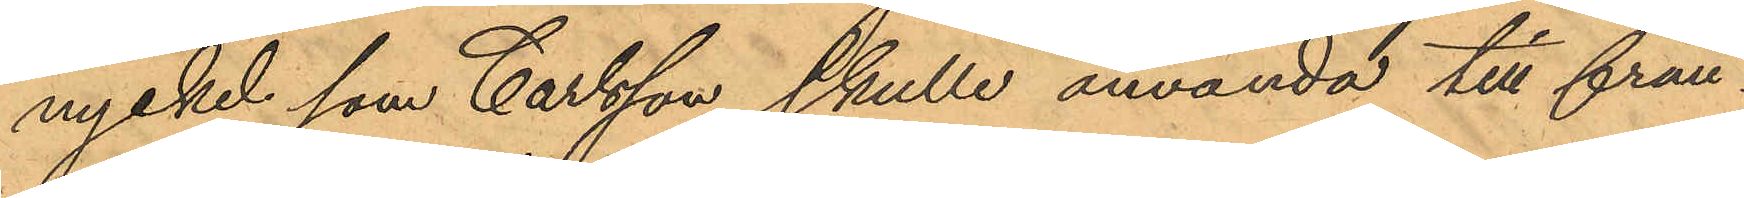nyckel som Carlsson skulle använda till från¬
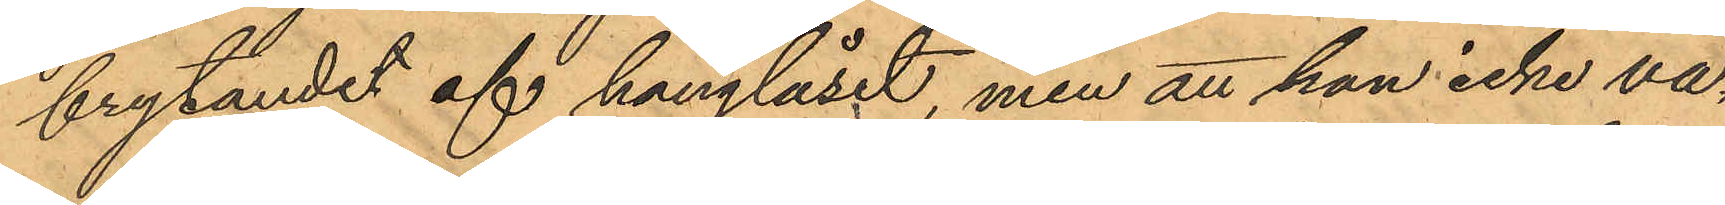brytandet af hänglåset, men att han icke va¬
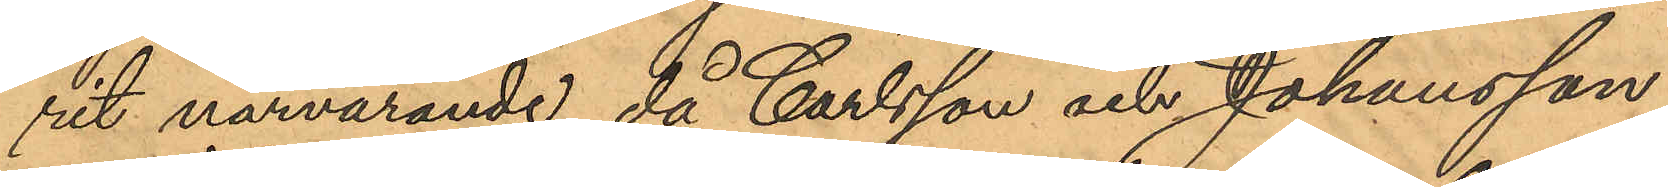rit närvarande, då Carlsson och Johansson
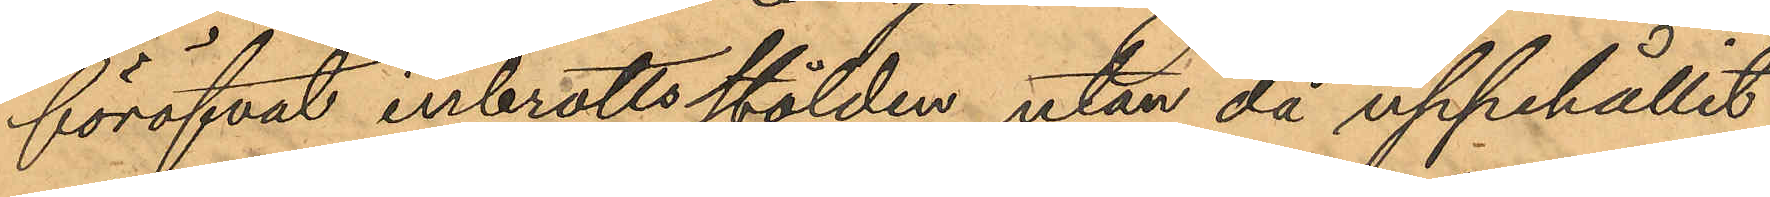föröfvat inbrottsstölden utan då uppehållit
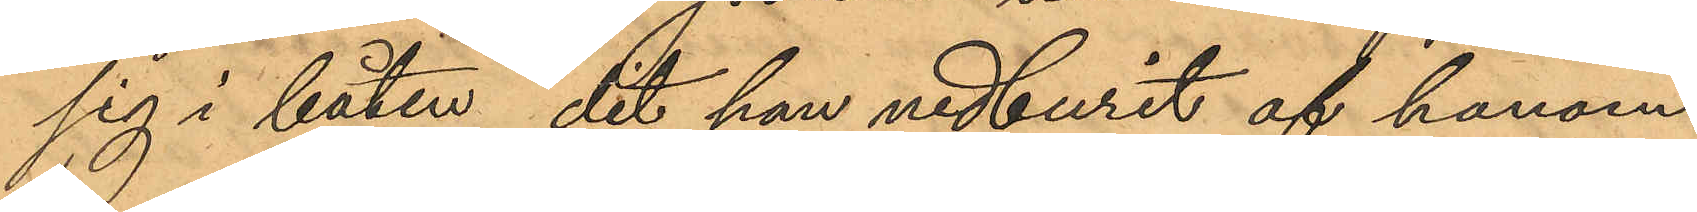sig i båten, dit han nedburit af honom
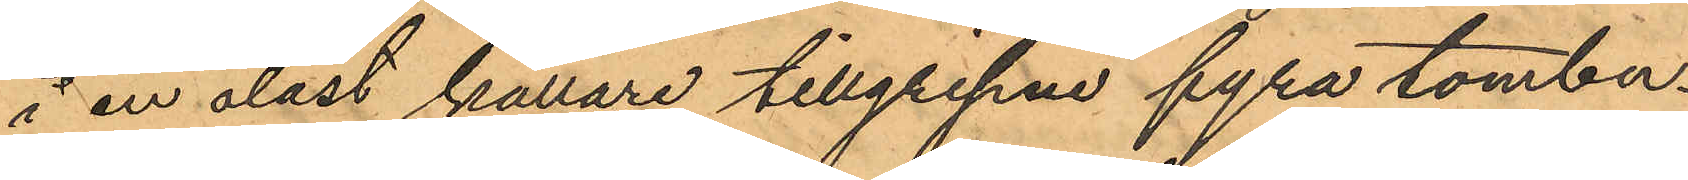i en olåst källare tillgripne fyra tombu¬
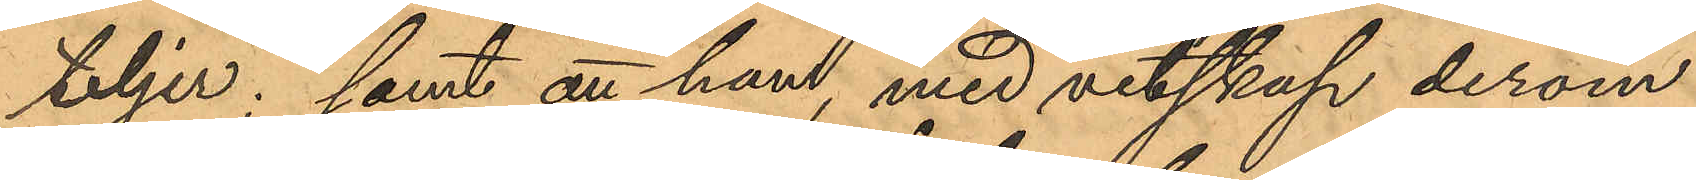teljer; samt att han, med vetskap derom
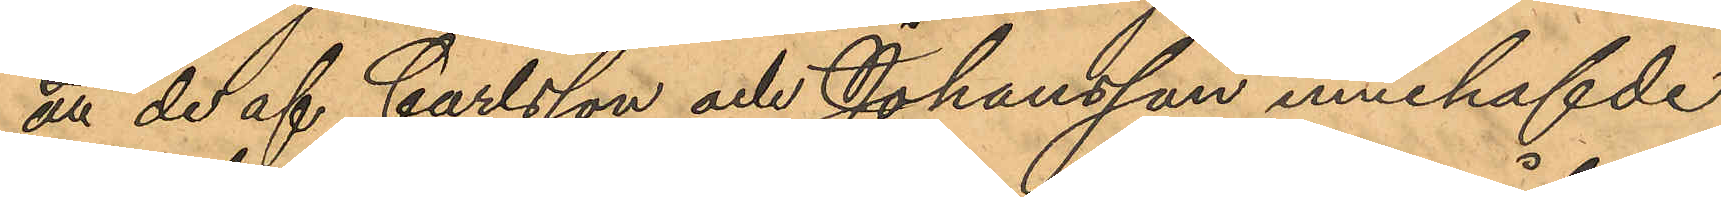att de af Carlsson och Johansson innehafvde
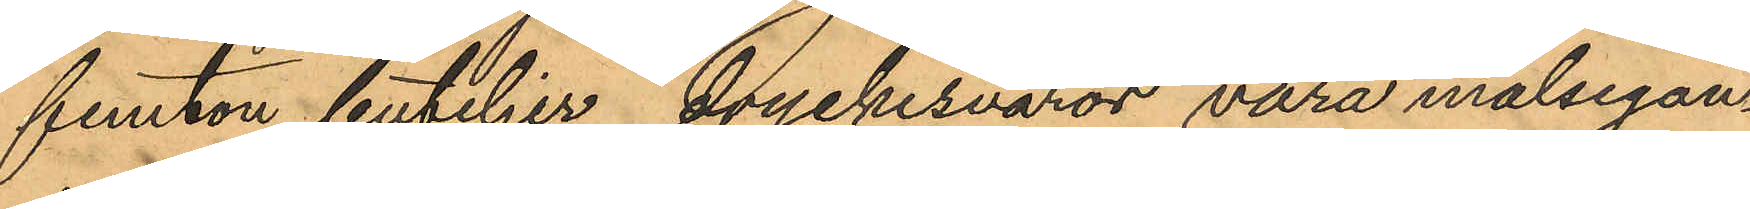femton buteljer dryckesvaror vara målsegan¬
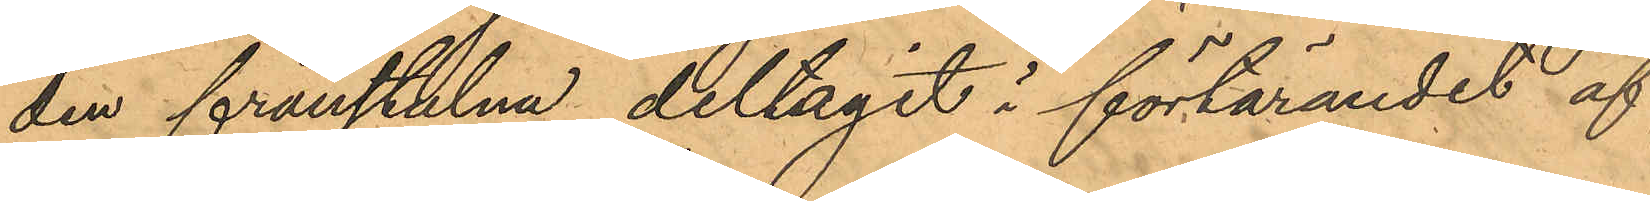den frånstulna deltagit i förtärandet af
